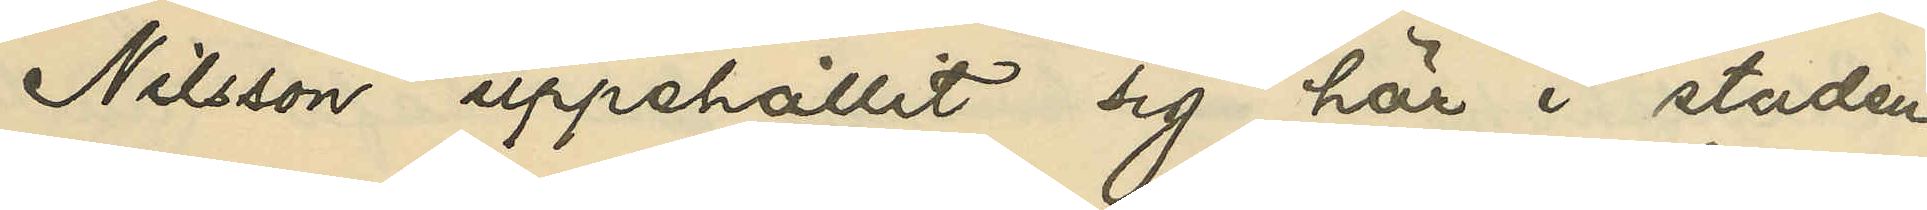Nilsson uppehållit sig här i staden
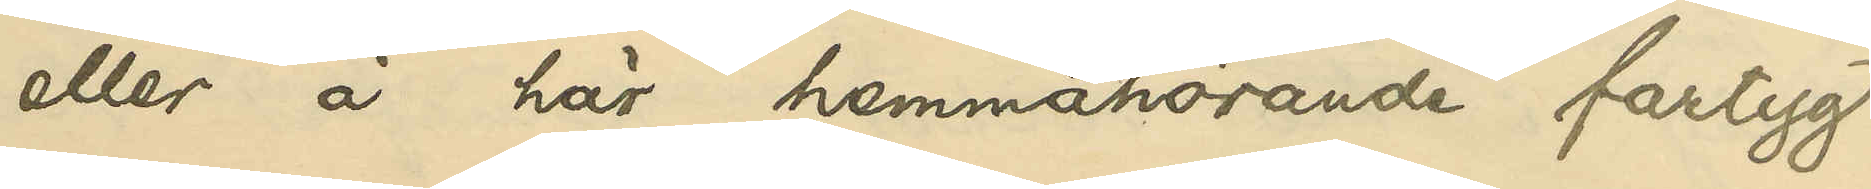eller å här hemmahörande fartyg,
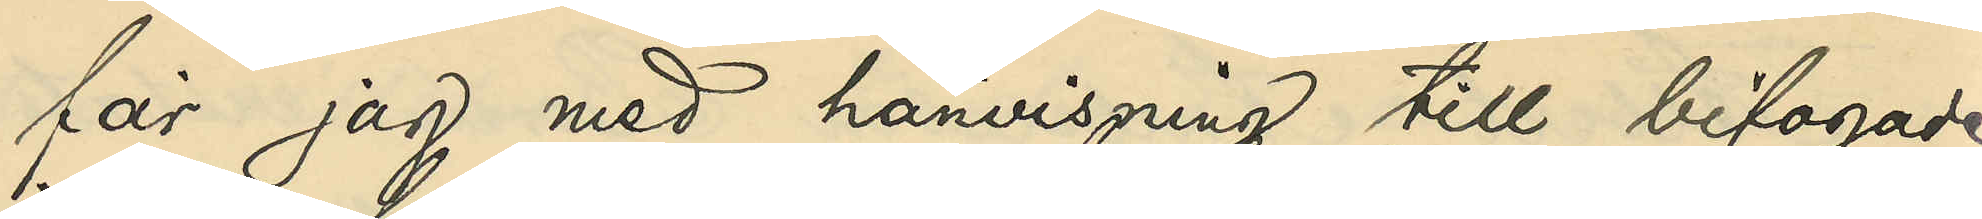får jag med hänvisning till bifogade
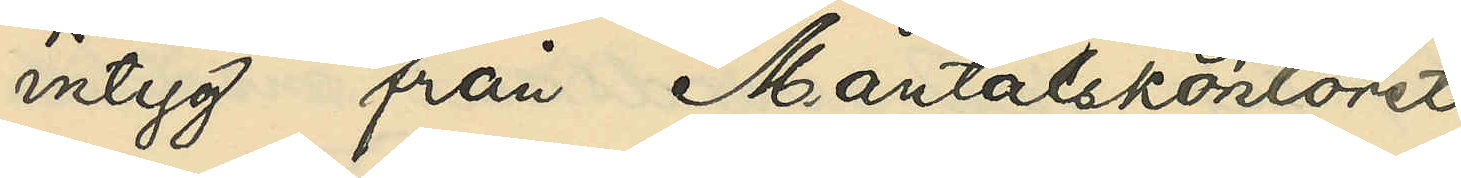intyg från Mantalskontoret
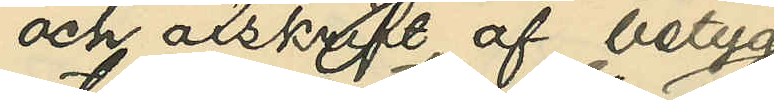och afskrift af betyg
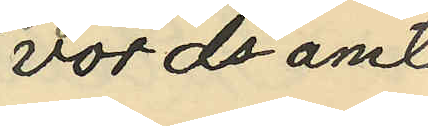vördsamt
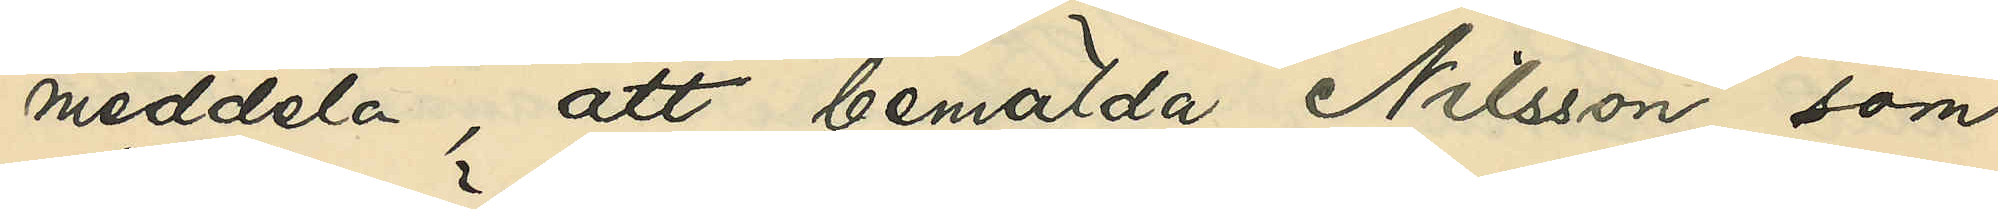meddela, att bemälda Nilsson, som
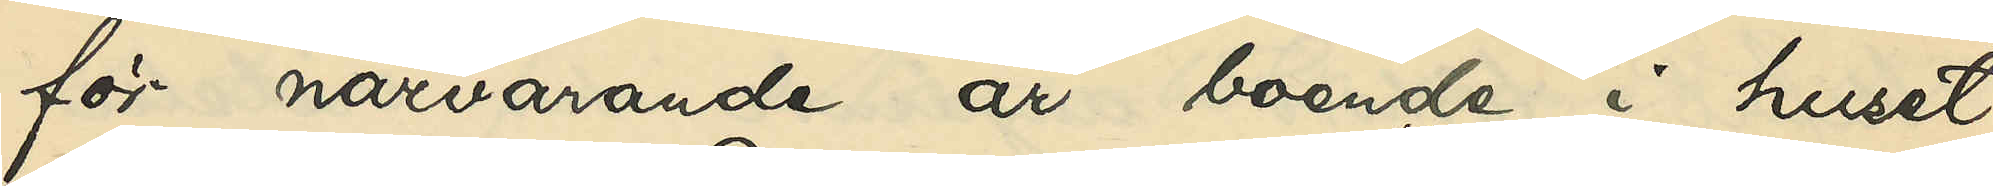för närvarande är boende i huset
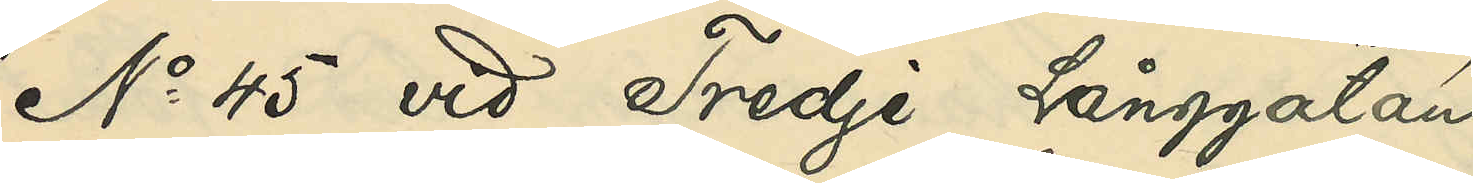No 45 vid Tredje Långgatan
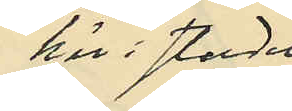här i staden,
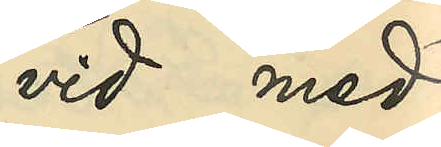vid med
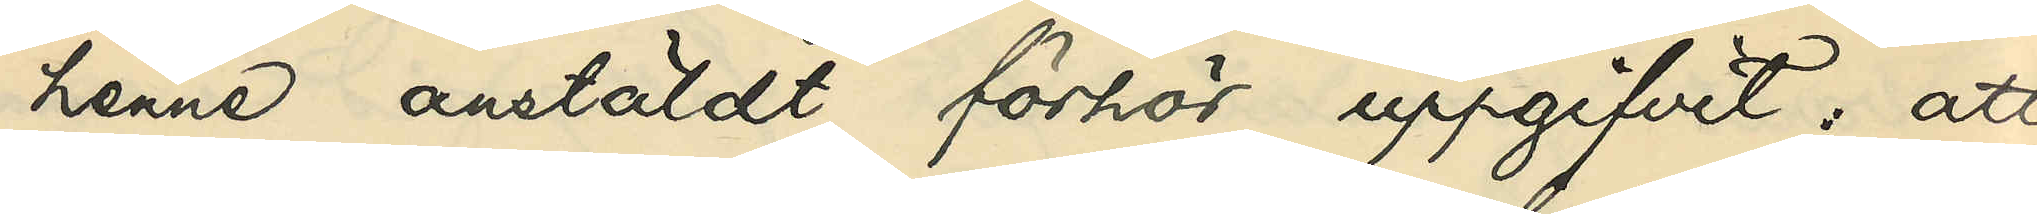henne anstäldt förhör uppgifvit: att
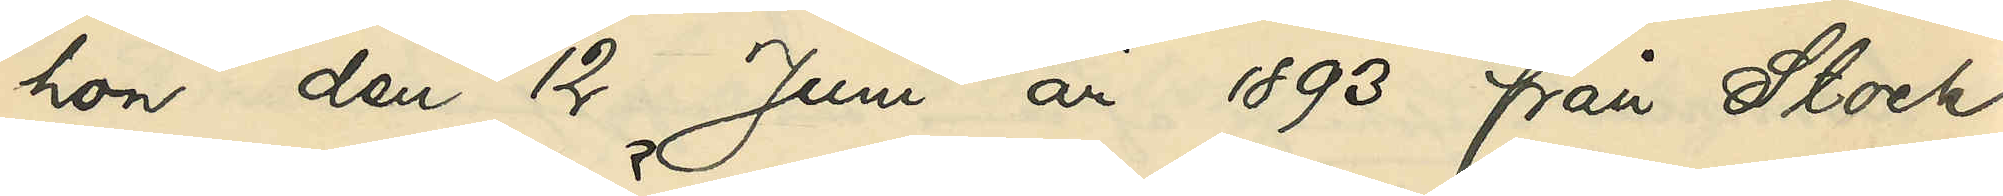hon den 12 Juni år 1893 från Stock¬
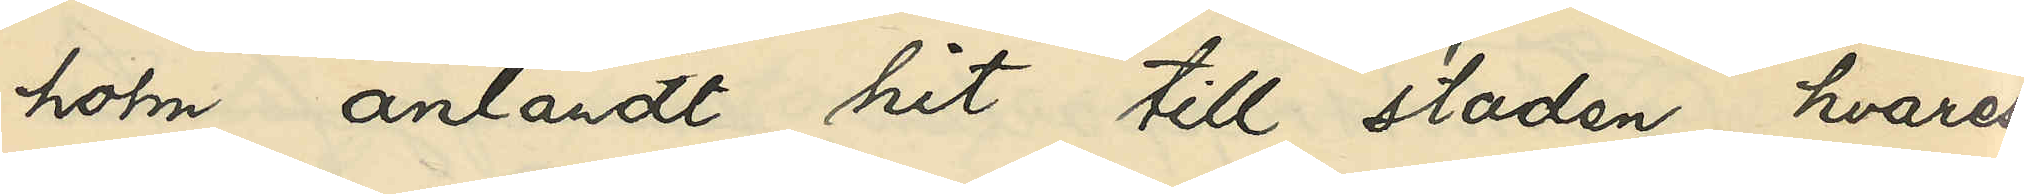holm anländt hit till staden, hvarest
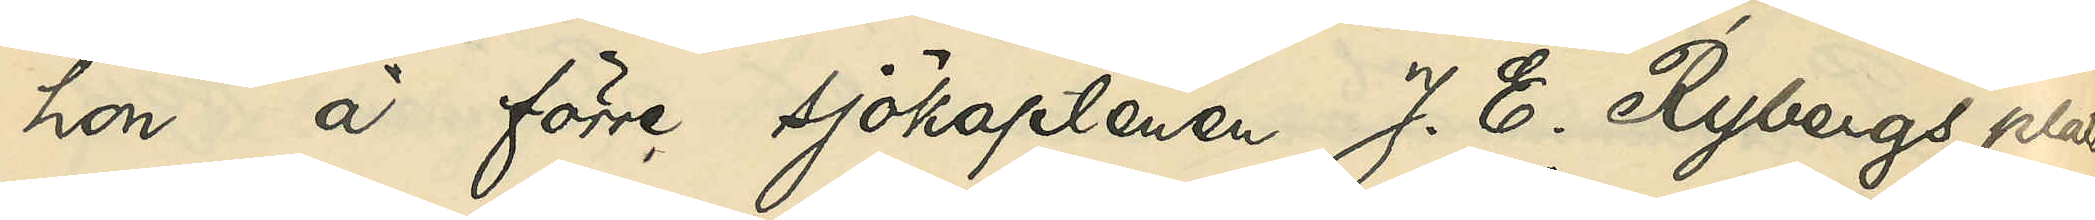hon å förre sjökaptenen J. E. Rybergs plats¬
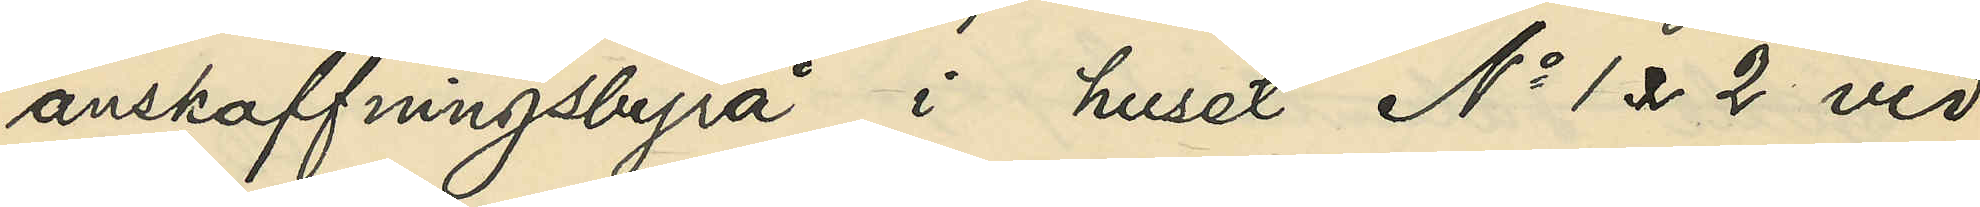anskaffningsbyrå i huset No 1 & 2 vid
